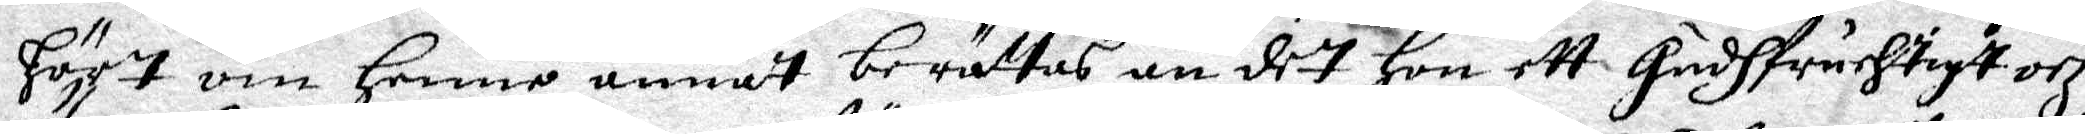Hört om henne annat berättas än det Hon ett Gudhfruchtigt och
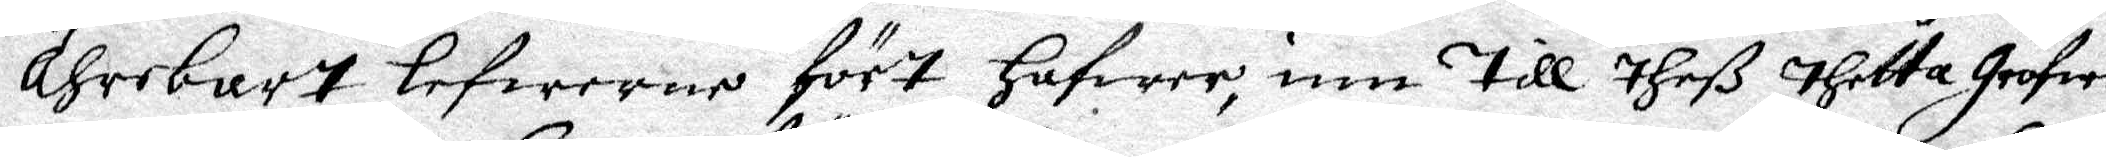Ährebart lefwerne fört hafwer, inn Till theß thetta Grofwe
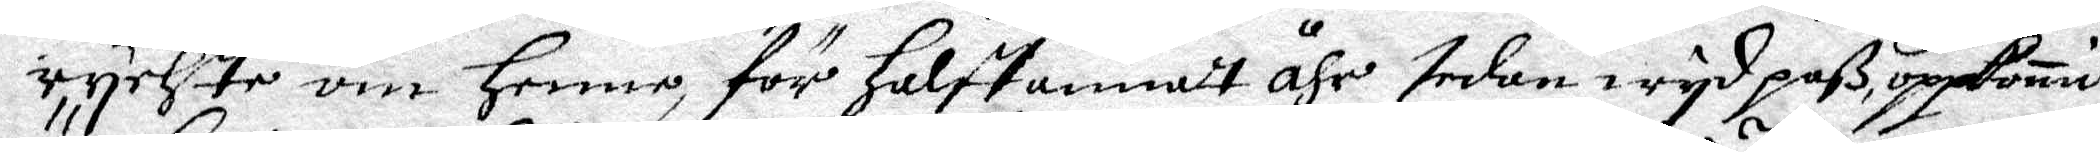rychte om Henne för Halftannat åhr sedan wyd paß uppkomit
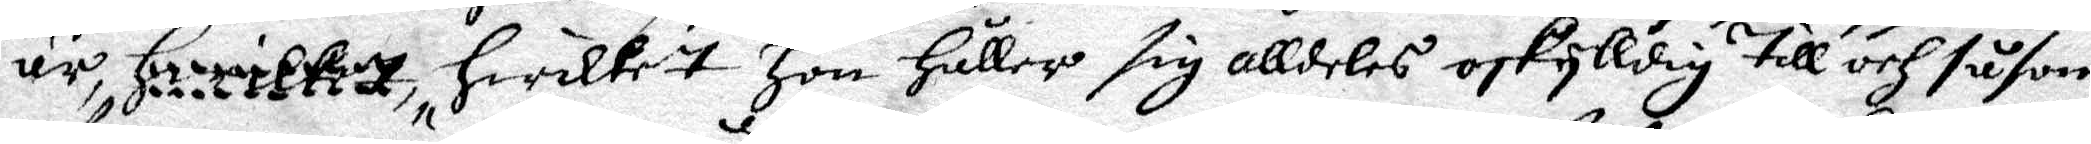är, Hwilket, Hwilket Hon Håller sig alldeles oskylldig Till och såsom
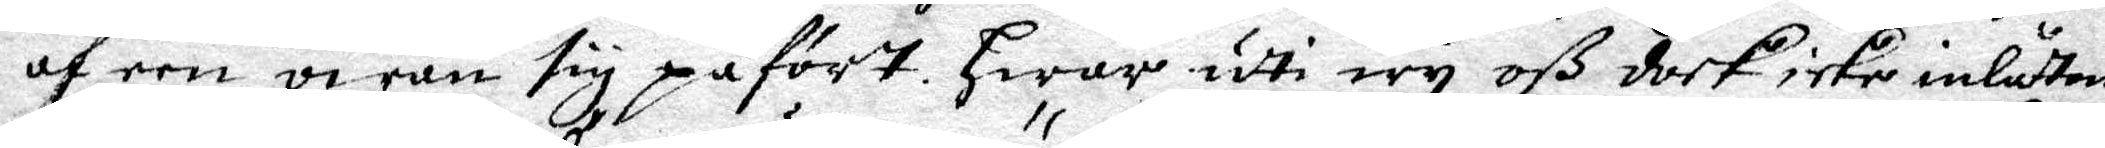af een owän sig påfört. Hwar udti wy oß dock icke inlåtom
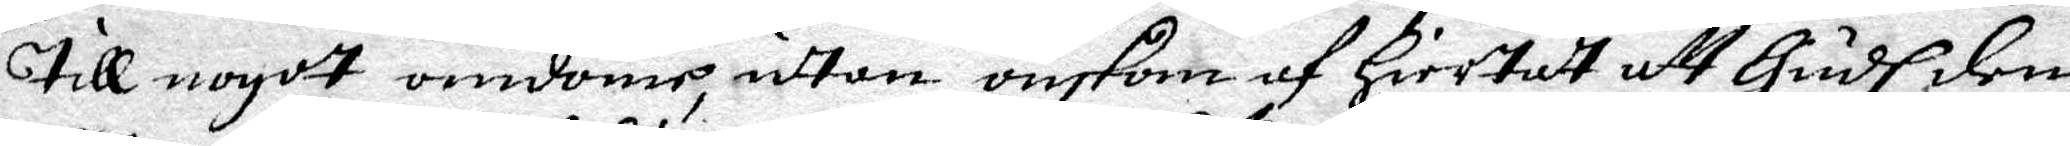Till npgott omdöme, udtan önskom af Hiertat att Gudh den
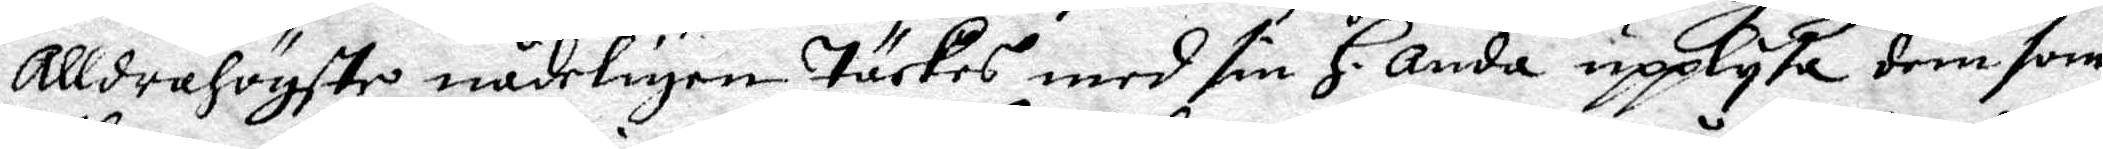AlldraHögste nådeligen Täckes med sin H. Anda upplysa dem som
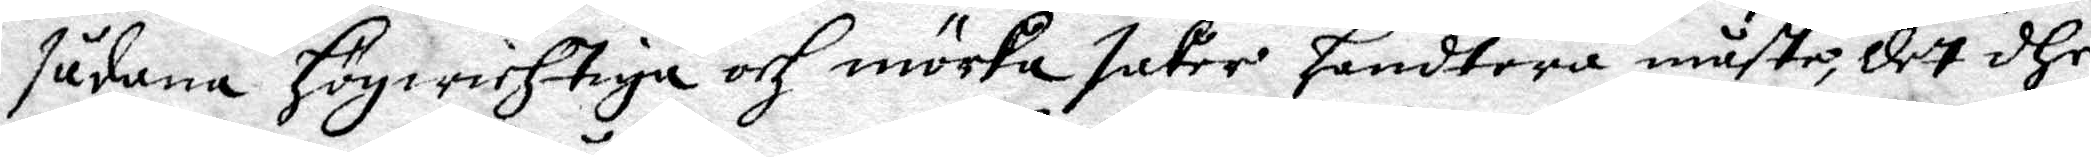sådnae Högwichtiga och mörka saker handtera måste, det dhe
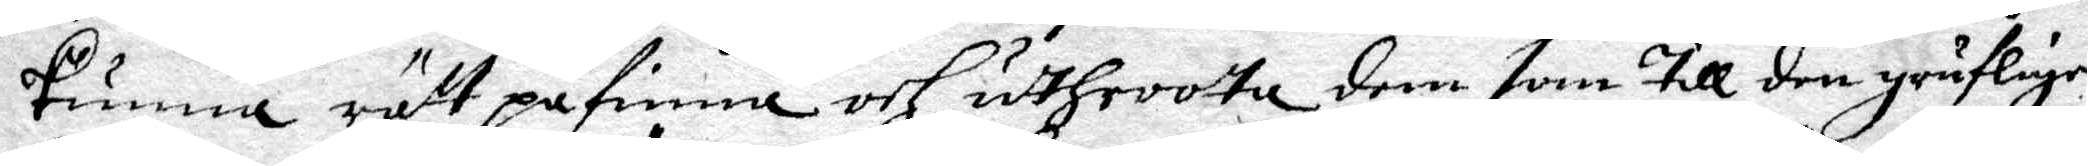kunna rätt påfinna och udtHroota dem som Till den gruflige
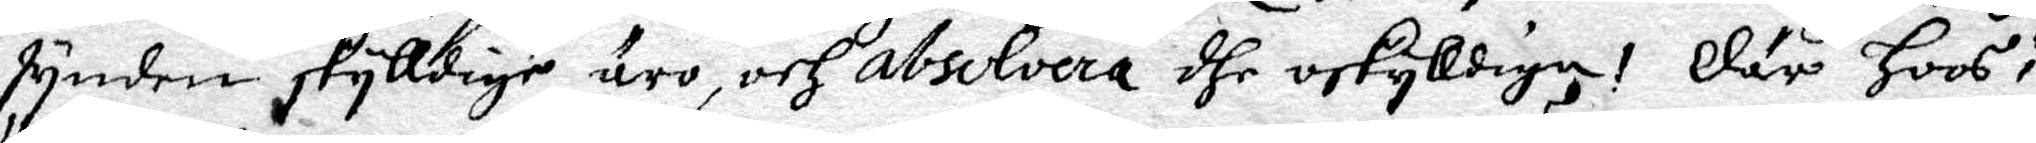synden skylldige äro, och absolvera dhe oskylldiga! Där Hoos i
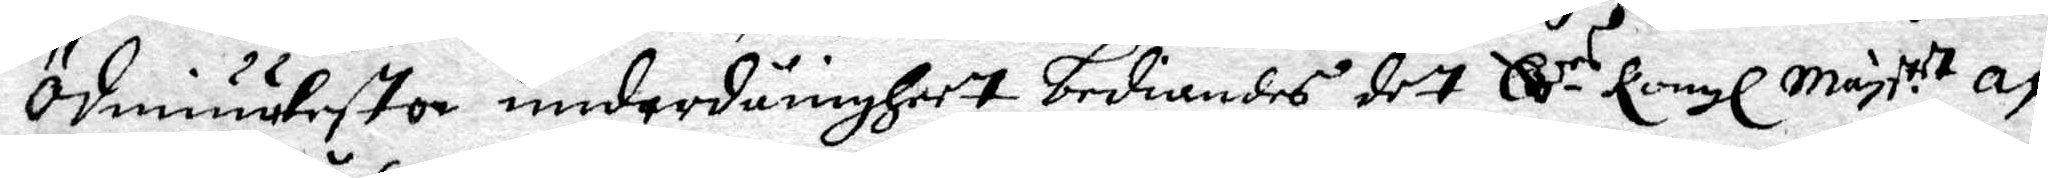ödmiuukeste undernånigheet bediandes det Edes Kongl Mayt.tt af
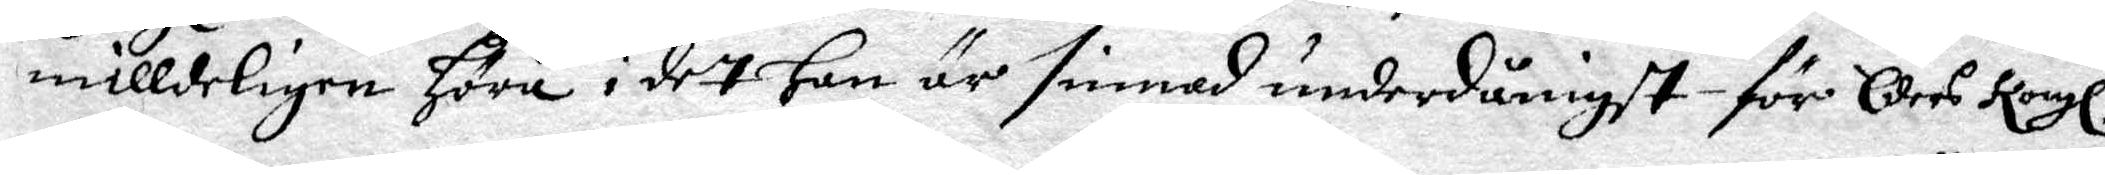milldeligen Höra i det Han är sinnad underdånigst för eders Kongl.
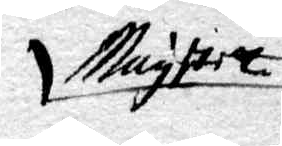Maystet
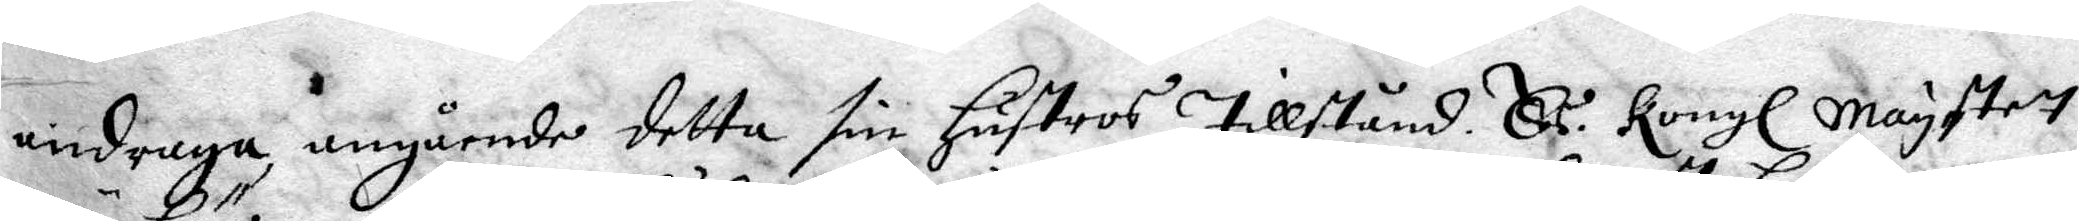andraga angående detta sin Hustros Tillstånd Eds Kongl Maystet
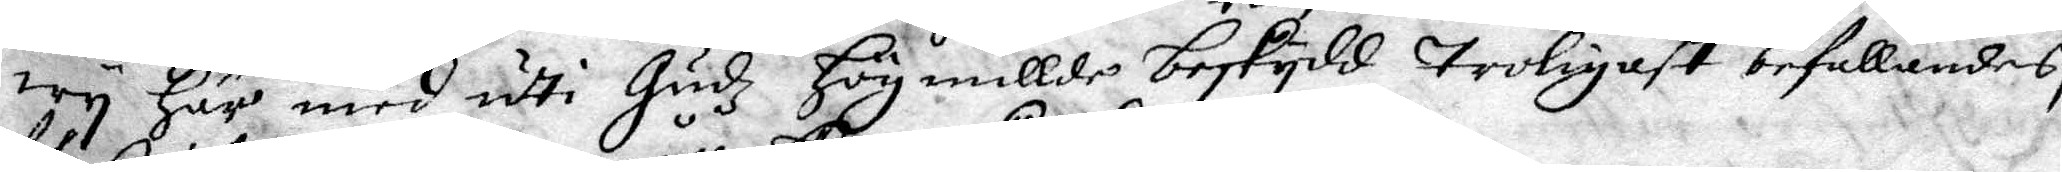wy Här med udti Gudz Hög millde beskydd troligast befallandes,
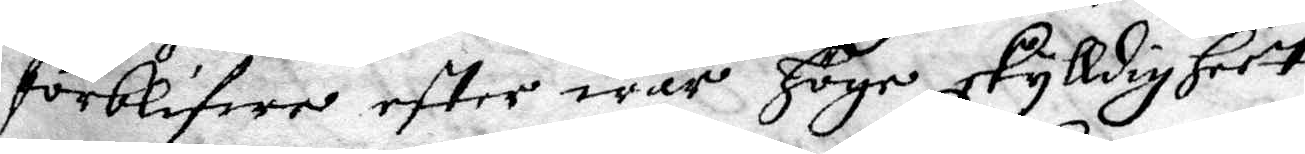förblifwer efter wår Höge skylldigheet
